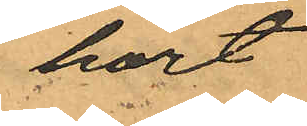hört
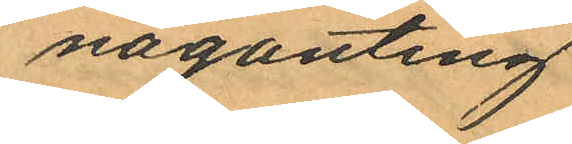någonting
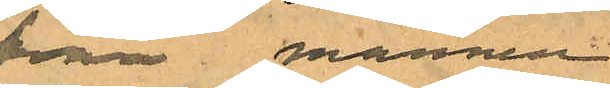från mannen
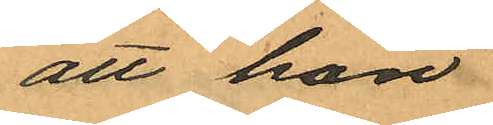att hon
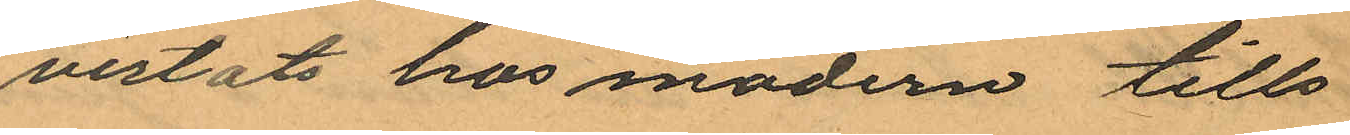vistats hos modern tills
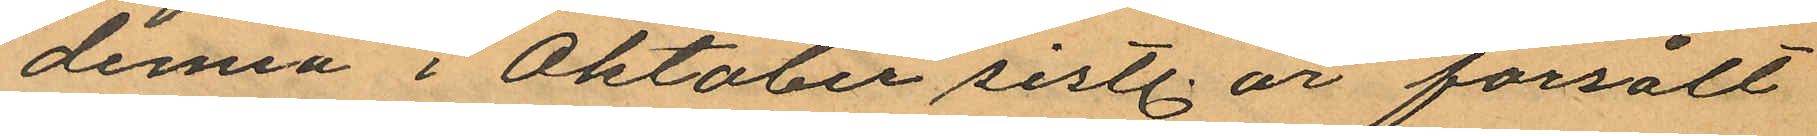denna i Oktober sistl. år försålt
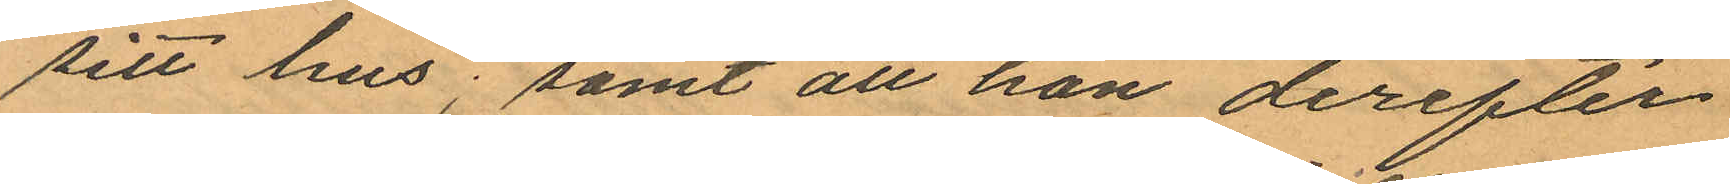sitt hus; samt att hon derefter
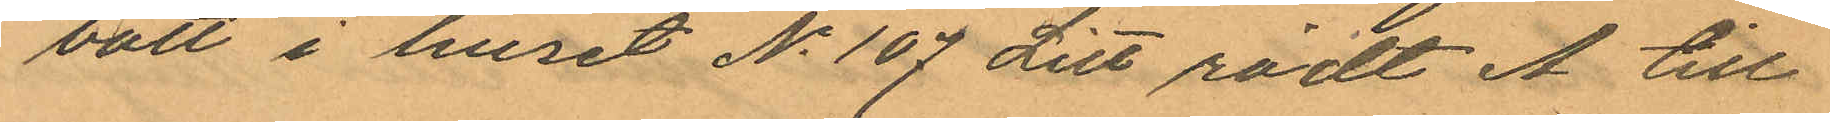bott i huset No 107 Litt rödt A till
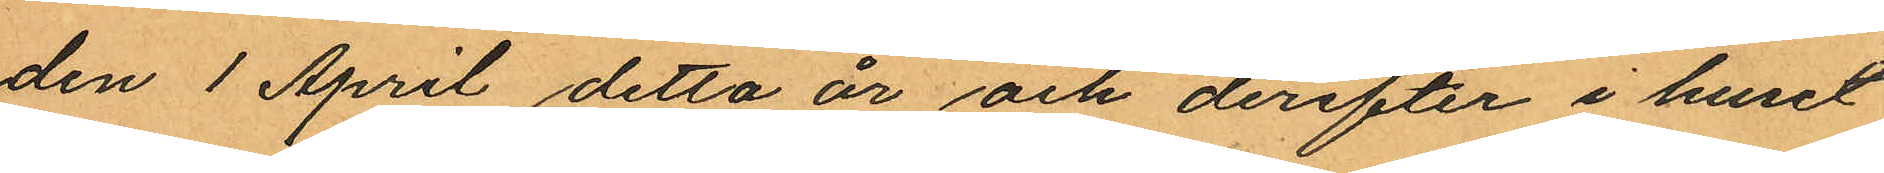den 1 April detta år och derefter i huset
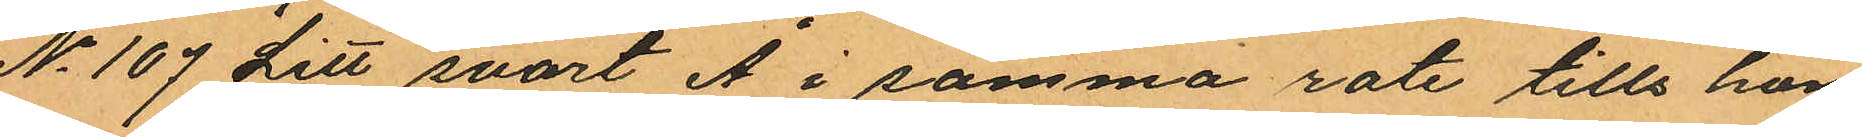No 107 Litt svart Å i samma rote tills hon
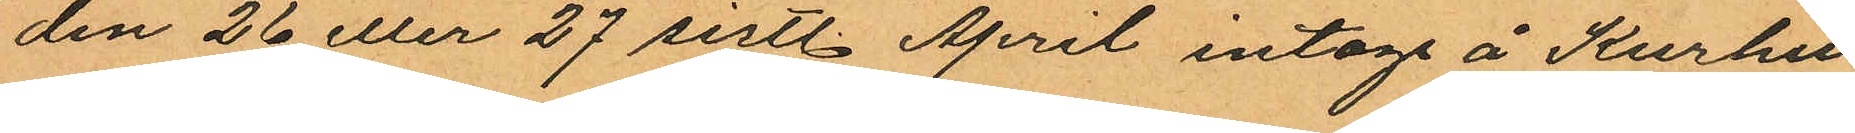den 26 eller 27 sistl. April intogs å Kurhu¬
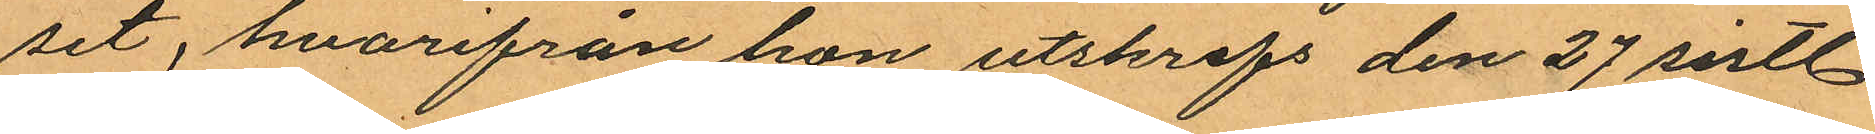set, hvarifrån hon utskrifs den 27 sistl
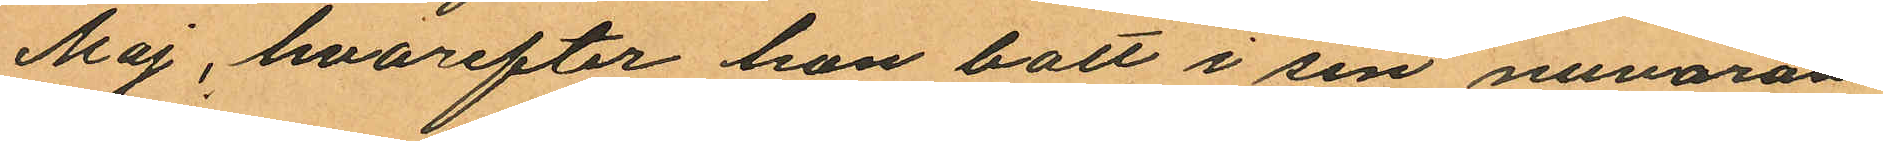Maj, hvarefter hon bott i sin nuvaran¬
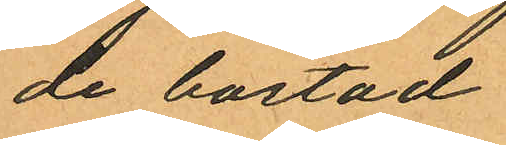de bostad.
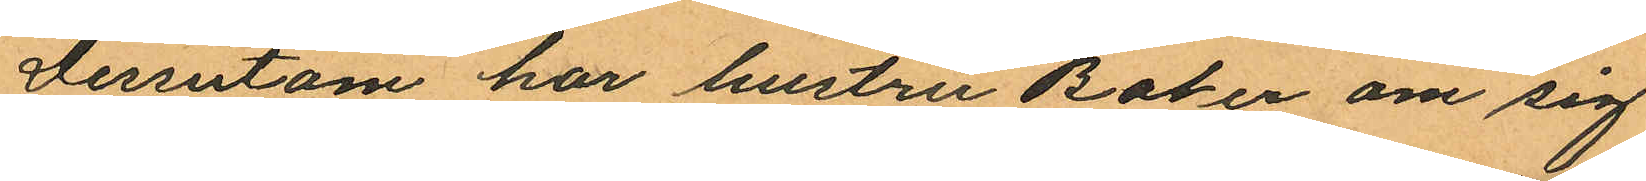Dessutom har hustru Baker om sig
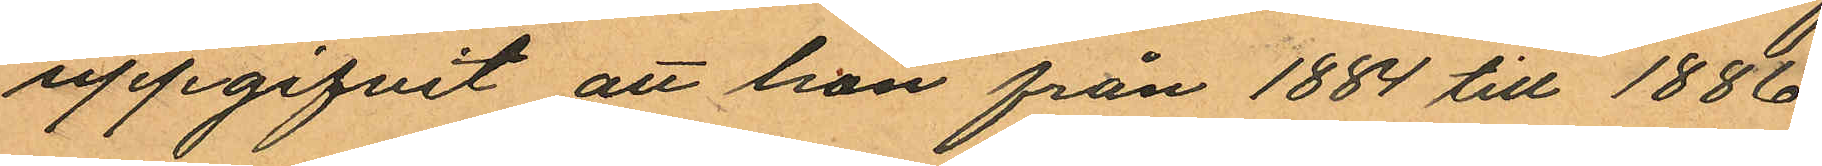uppgifvit att hon från 1884 till 1886
